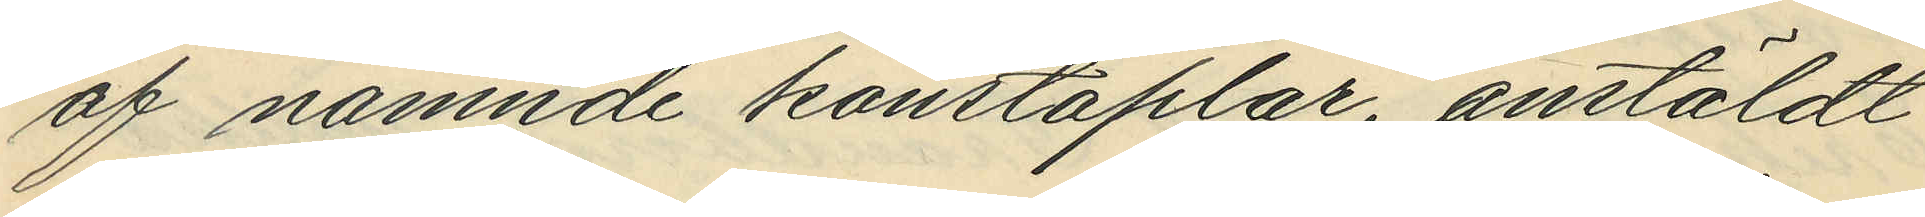af nämnde konstaplar, anstäldt
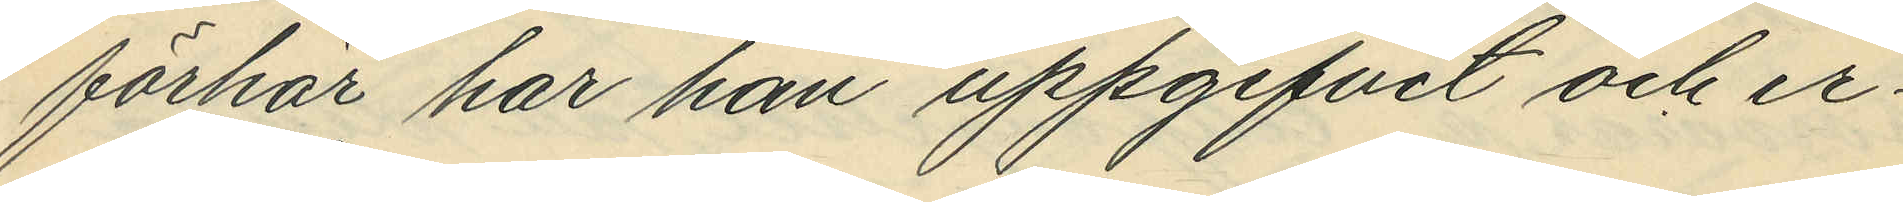förhör har han uppgifvet och er¬
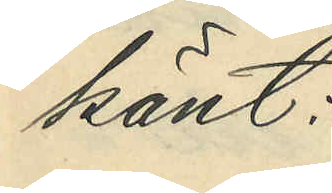känt:
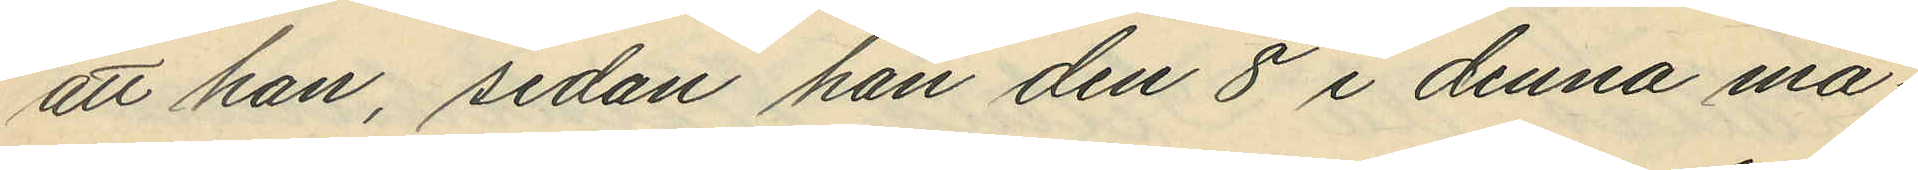att han, sedan han den 8 i denna må¬
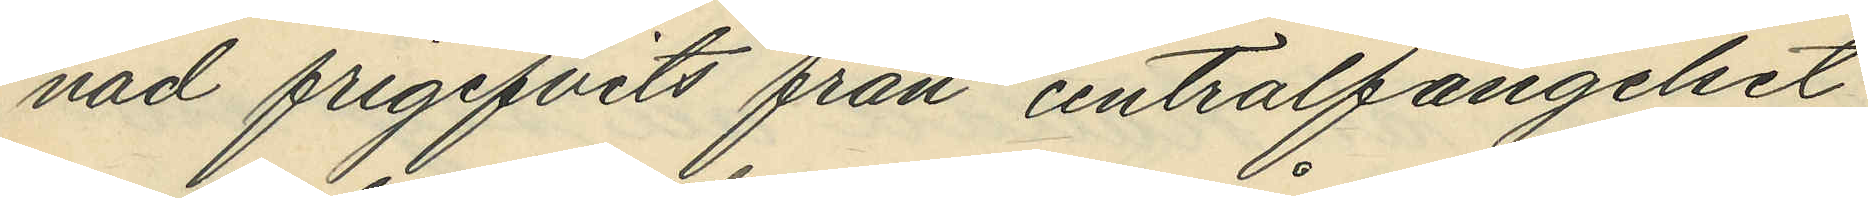nad frigifvits från centralfängelset
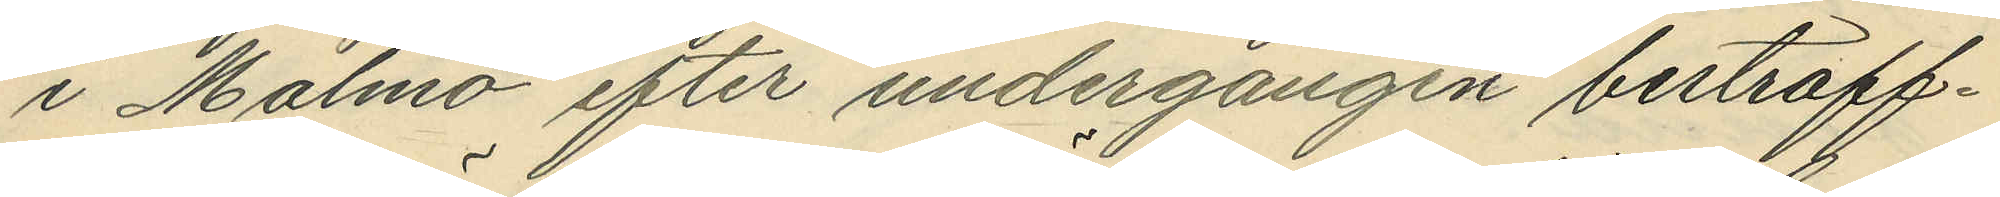i Malmö efter undergången bestraff¬
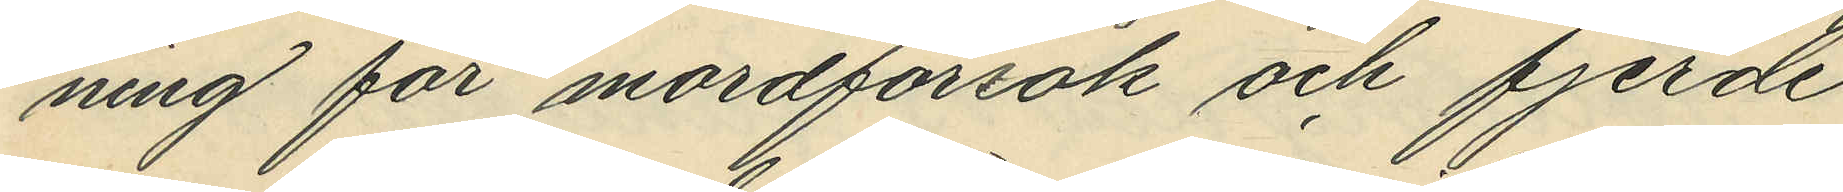ning för mordförsök och fjerde
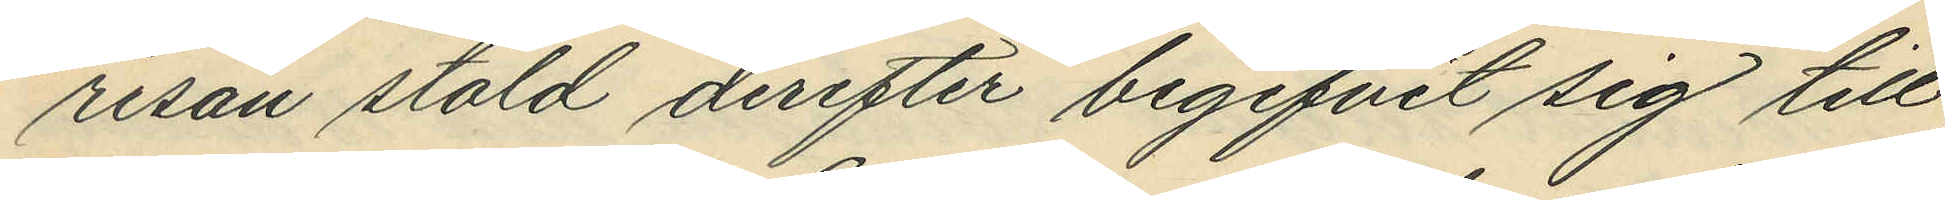resan stöld derefter begifvit sig till
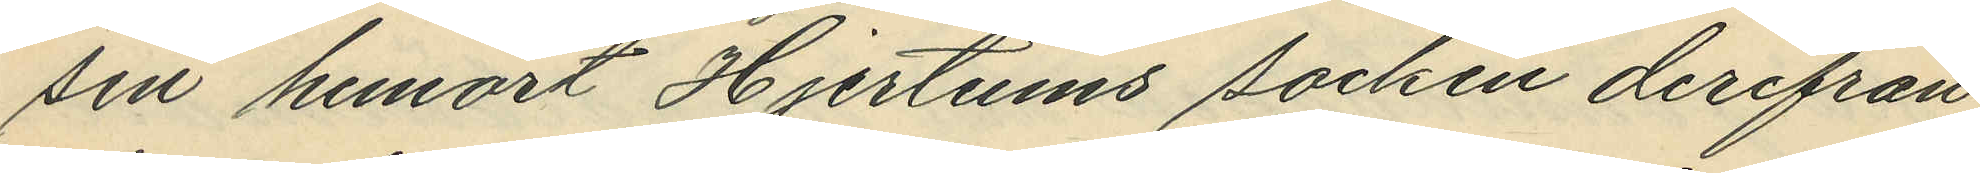sin hemort Hjertums socken derifrån
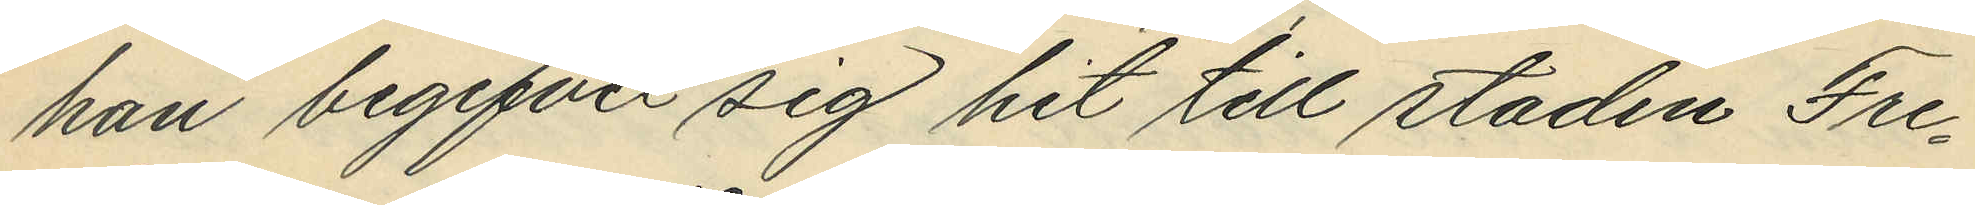han begifvit sig hit till staden Fre¬
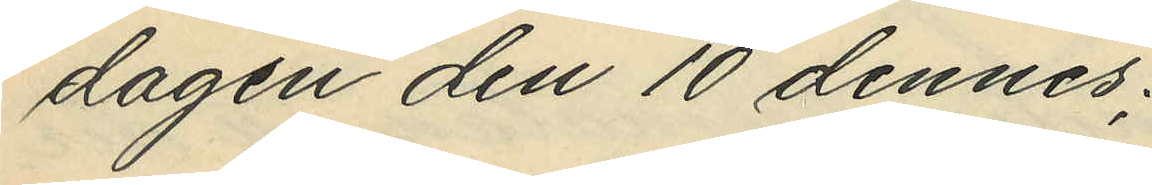dagen den 10 dennes;
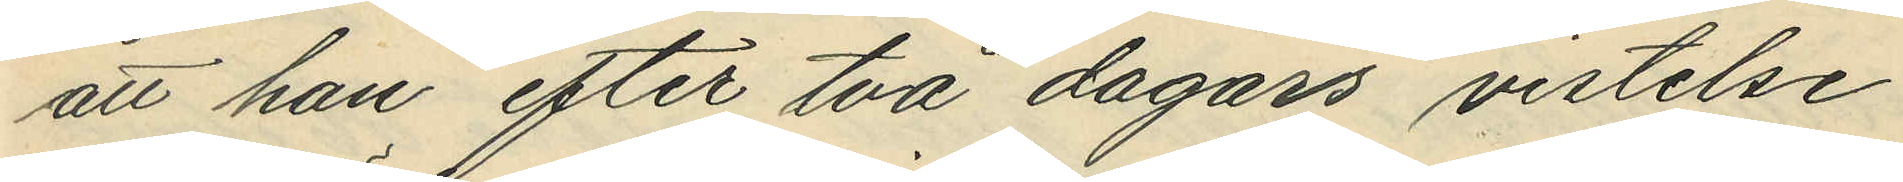att han efter två dagars vistelse
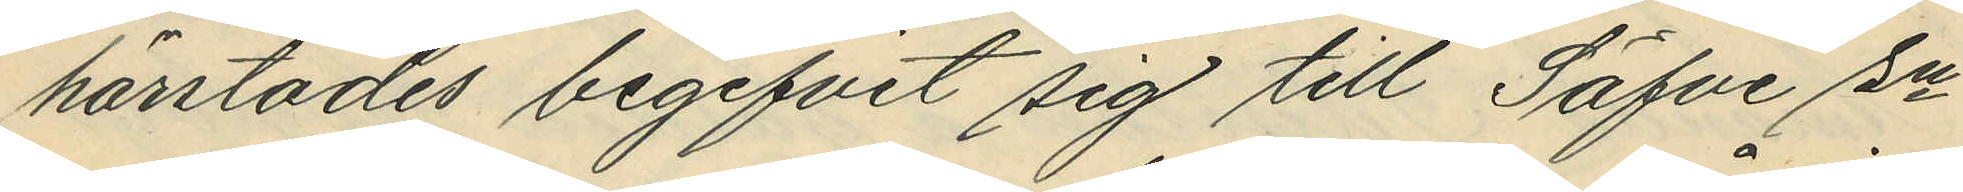härstädes begifvit sig till Säfve sn
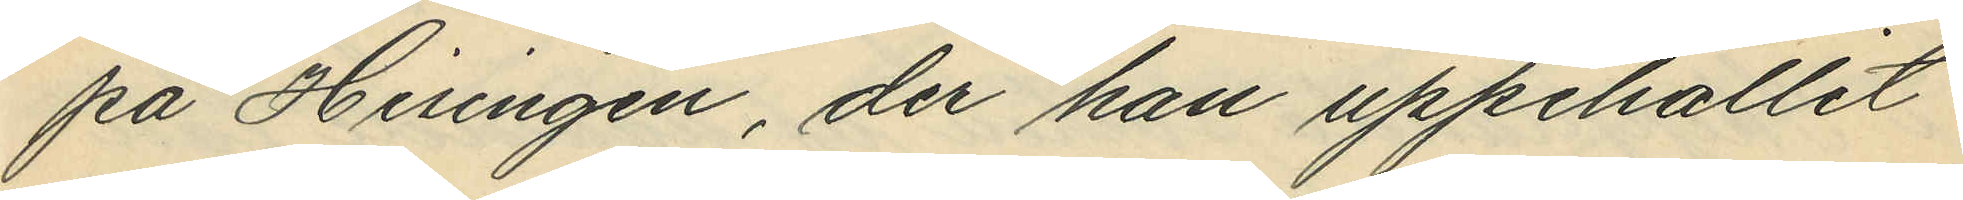på Hisingen, der han uppehållit
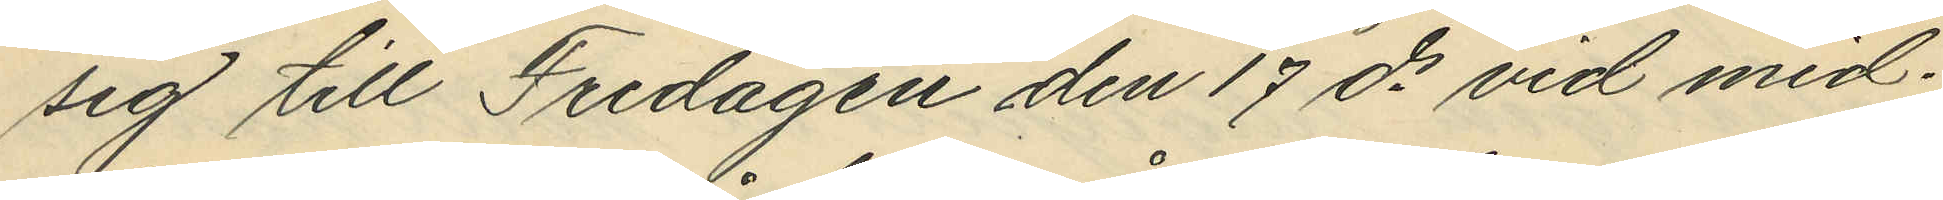sig till Fredagen den 17 ds vid mid¬
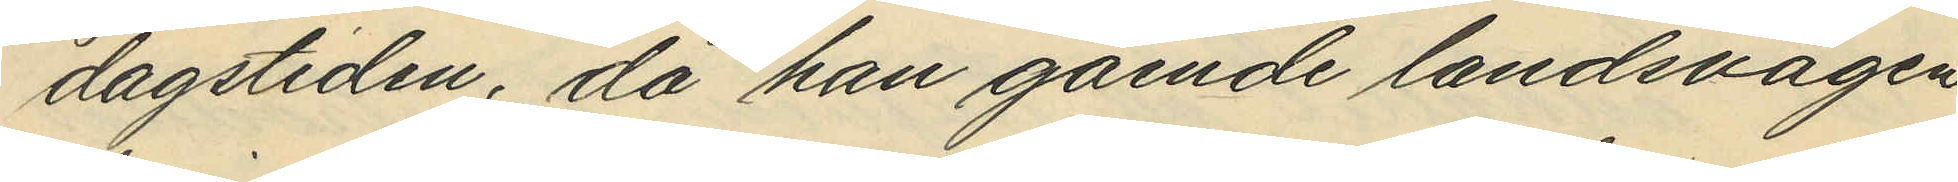dagstiden, då han gående landsvägen
